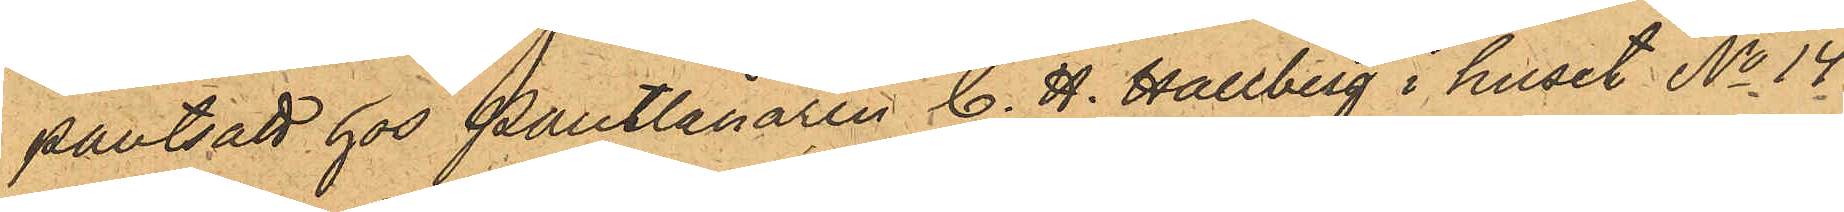pantsatt hos Pantlånaren C. H. Hallberg i huset No 14
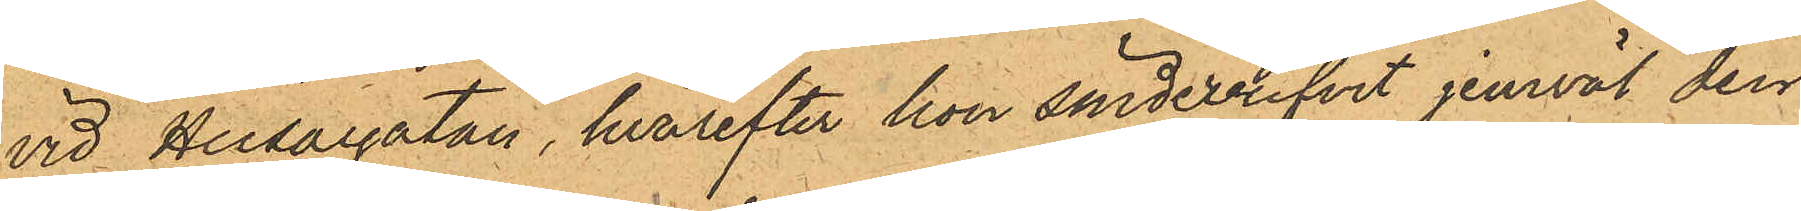vid Husargatan, hvarefter hon söndebrifvit jemväl den
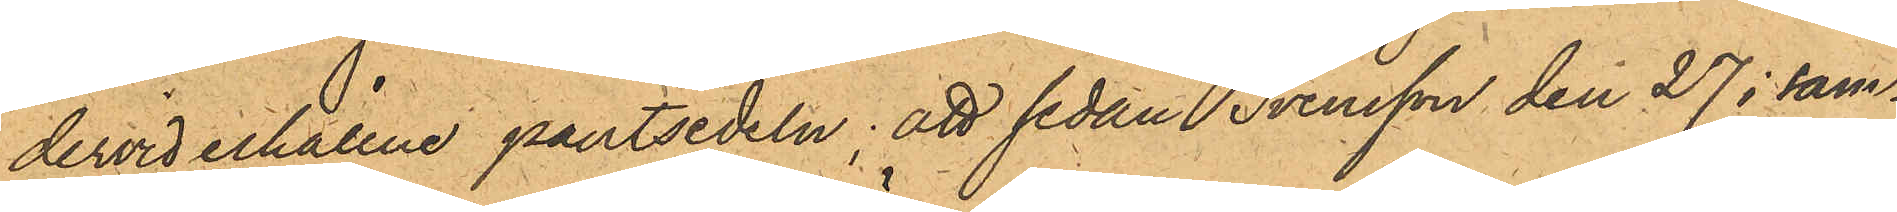dervid erhållne pantsedeln; att sedan Svensson den 27 i sam¬
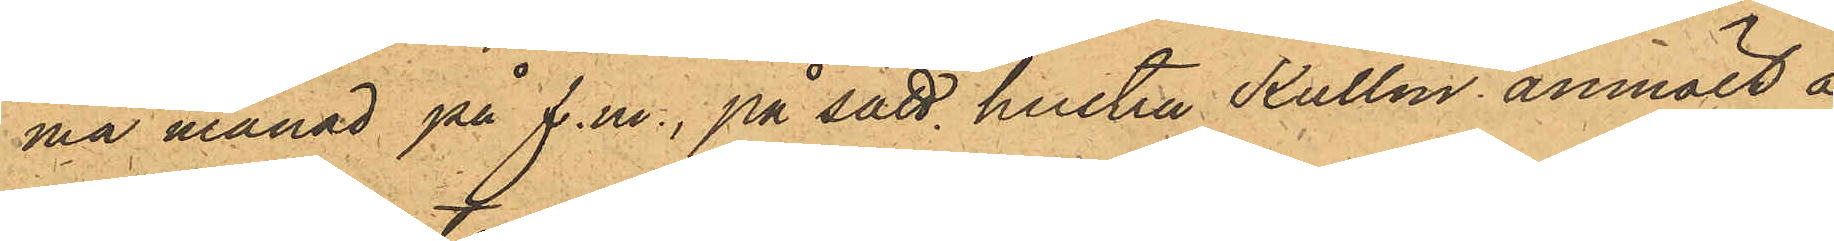ma månad på f.m., på sätt hustru Kullin anmält å
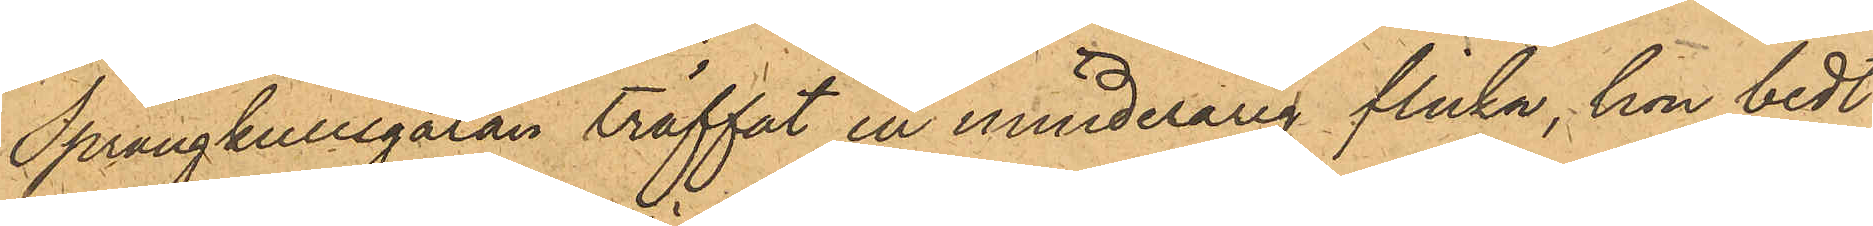Sprängkullsgatan träffat en minderårig flicka, hon bedt
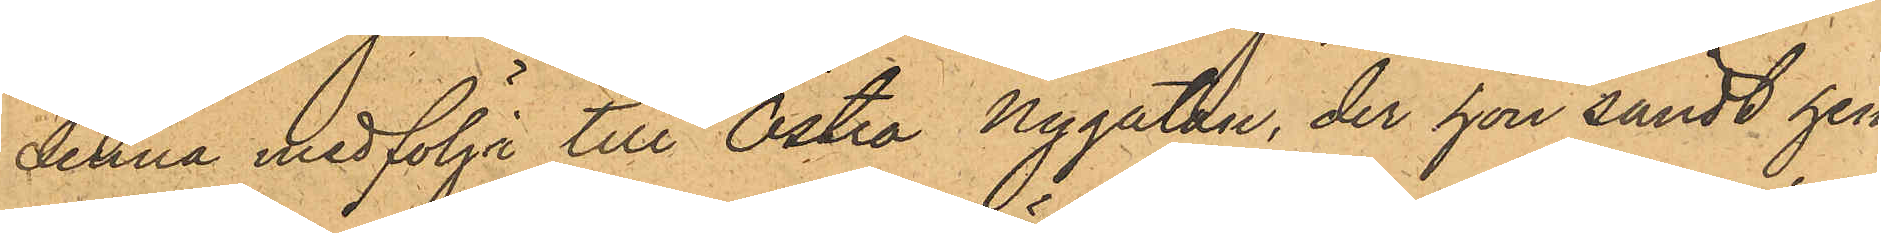denna medfölja till Östra Nygatan, der hon sändt hen¬
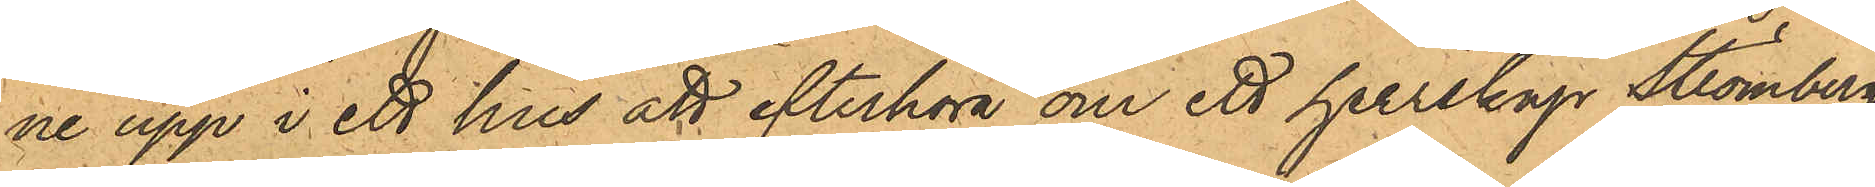ne upp i ett hus att efterhöra om ett herrskap Strömberg
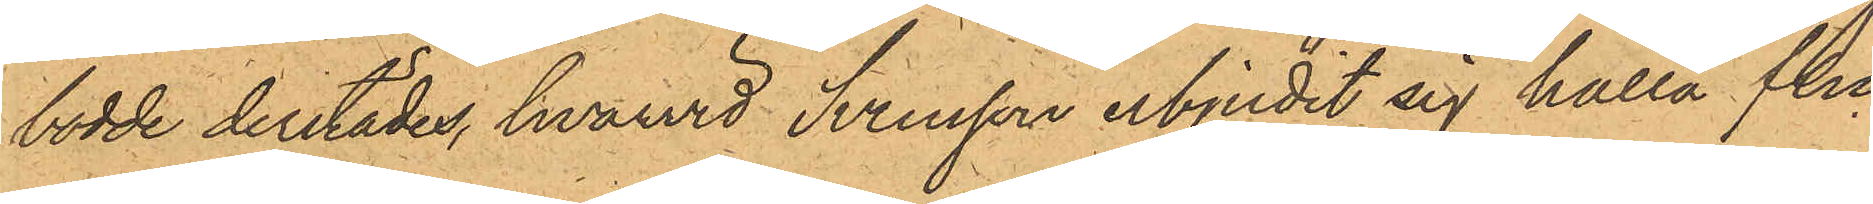bodde derstädes, hvarvid Svensson erbjudit sig hålla flic¬
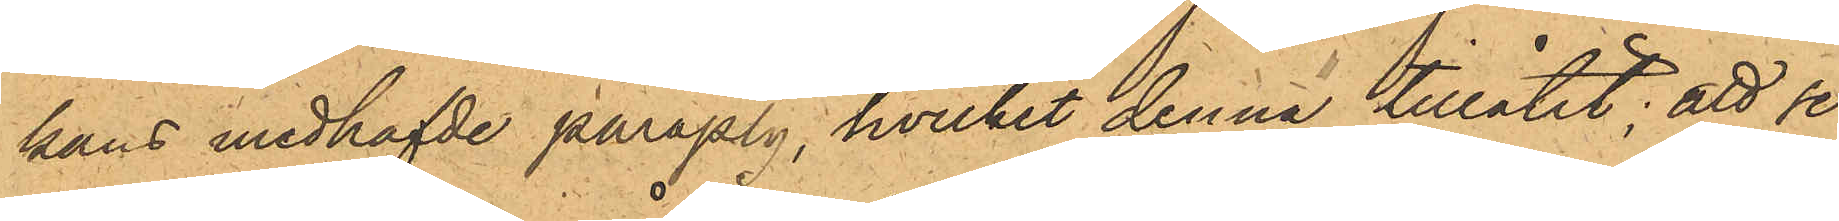kans medhafde pmrapaly, hvilket denna tillåtit; att se¬
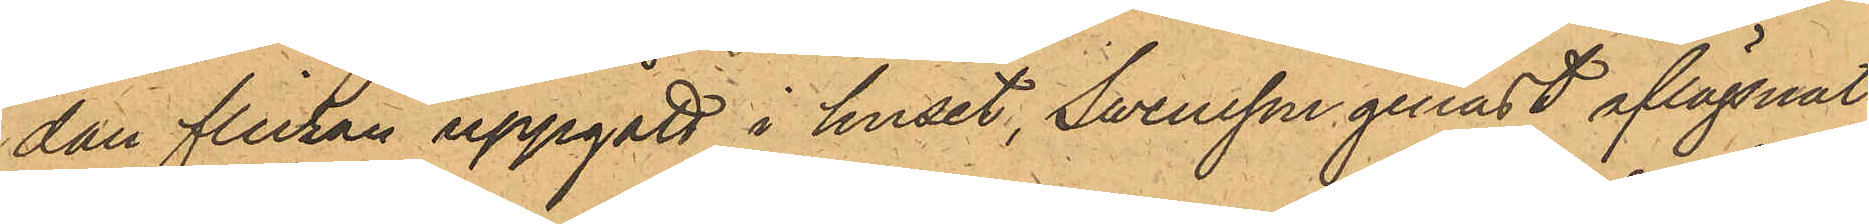dan flickan uppgått i huset, Swensson genast aflägsnat
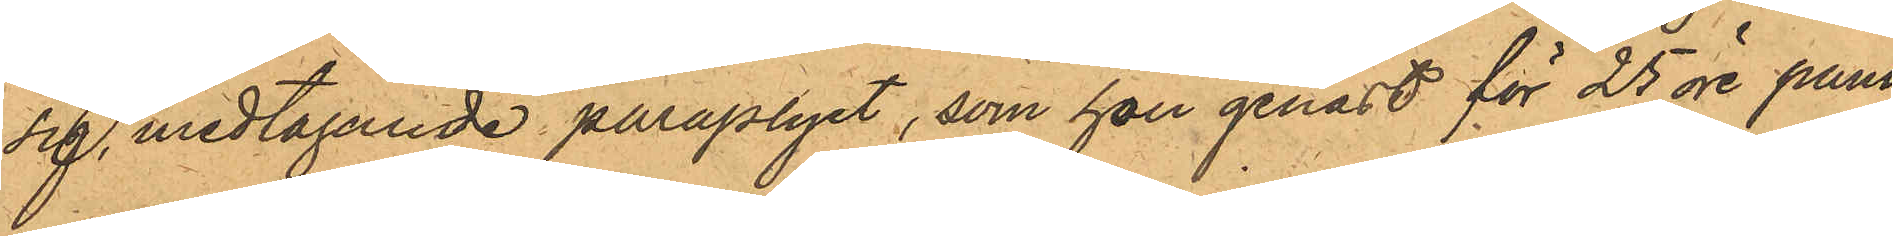sig, medtagande paraplyet, som hon genast för 25 öre pant¬
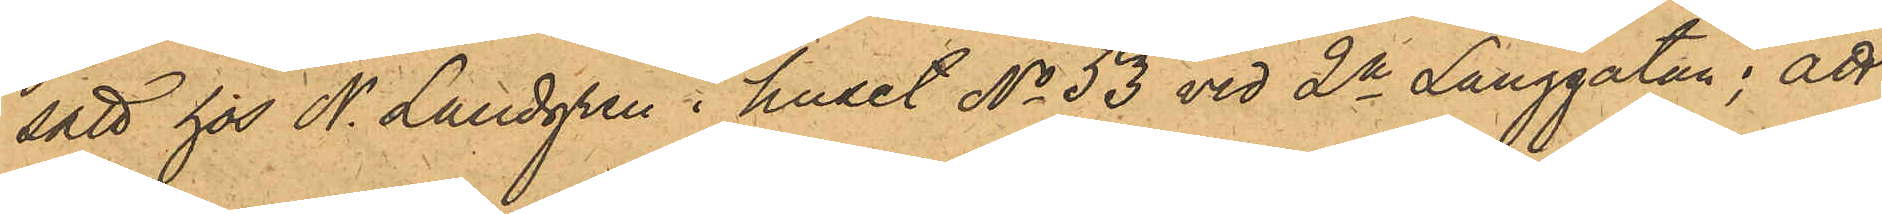satt hos N. Landgren i huset No 53 vid 2a Långgatan; att
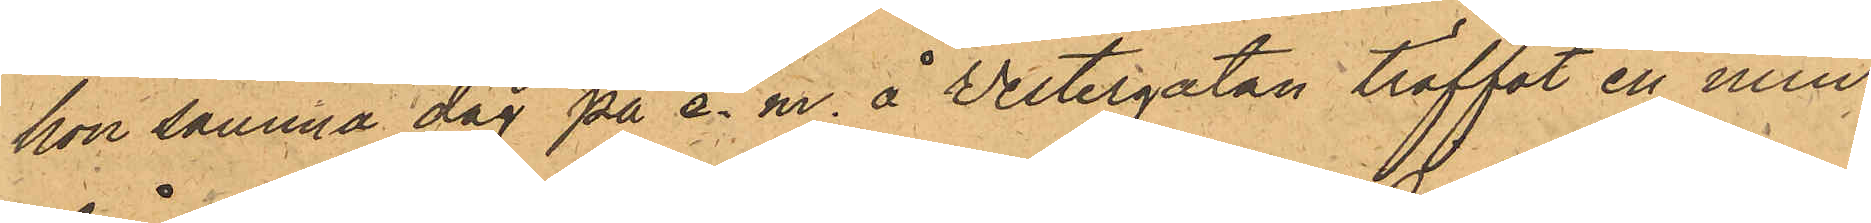hon samma dag på e. m. å Vestergatan träffat en min¬
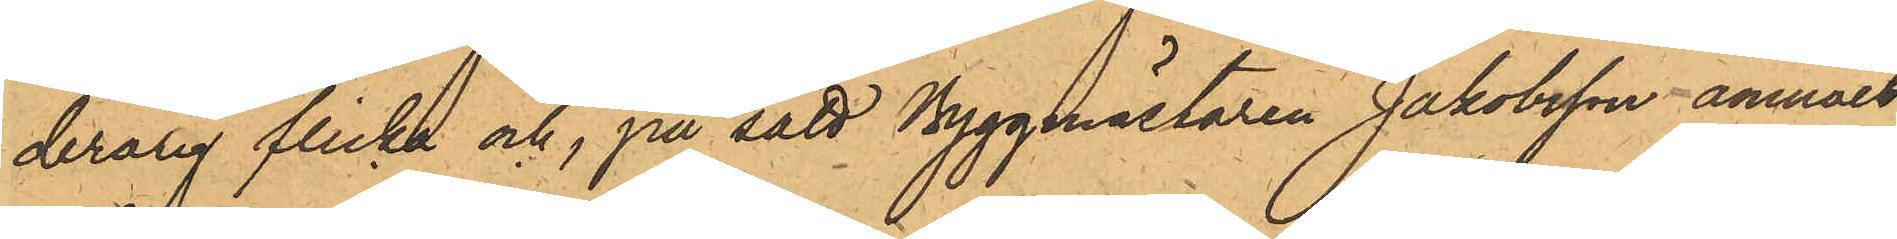derårig flicka och, på sätt Byggmästaren Jakobsson anmält,
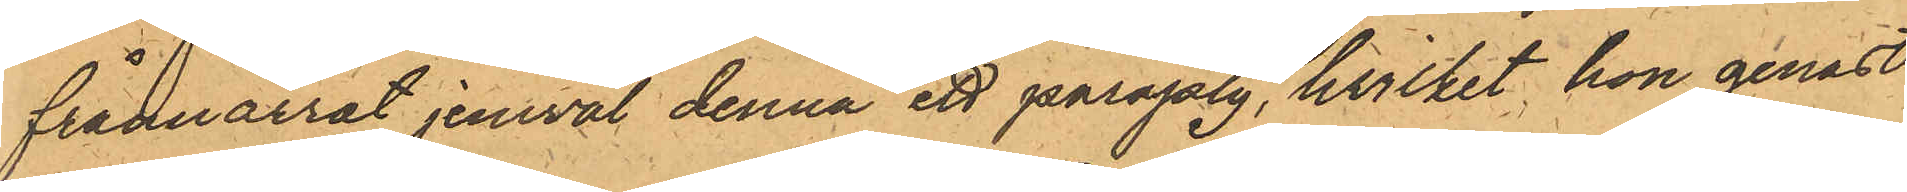frånnarrat jemväl denna ett paraply, hvilket hon genast
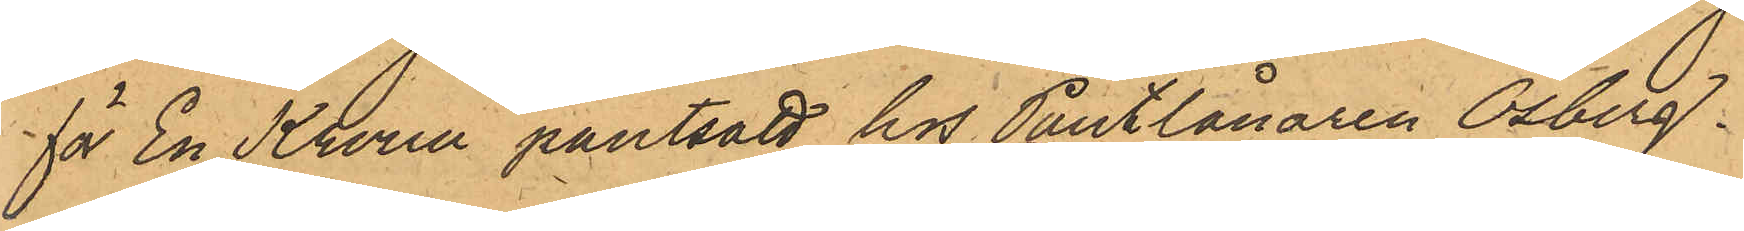för En Krona pantsatt hos Pantlånaren Osberg.
